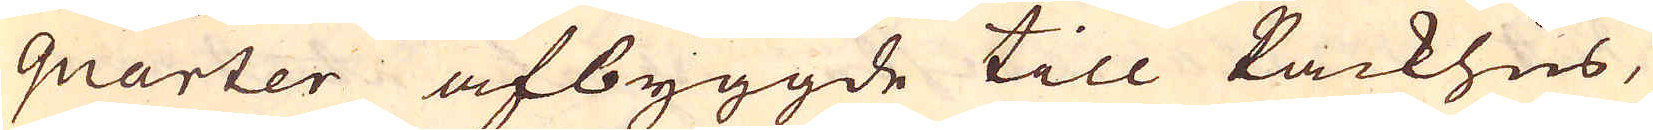quarter afbyggde till Packhus,
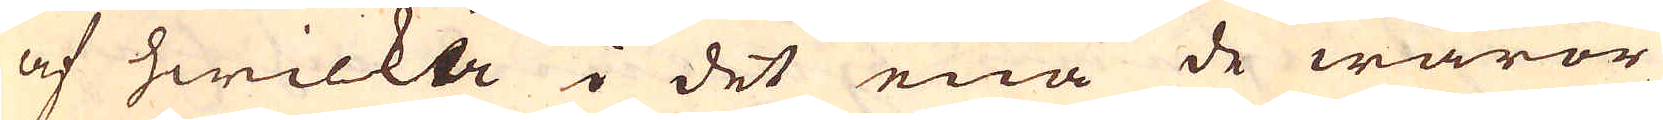af hwilcka i det ena de waror
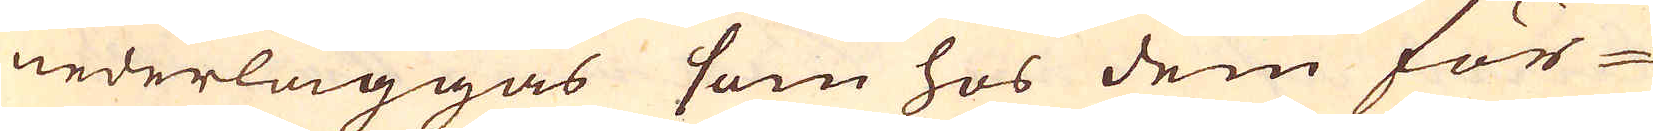nederläggas som hos dem för
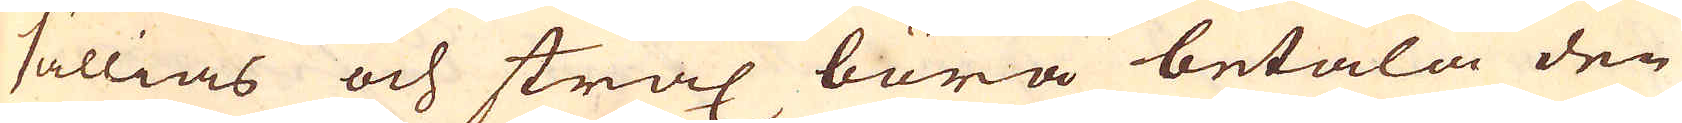sällias och strax böra betala den
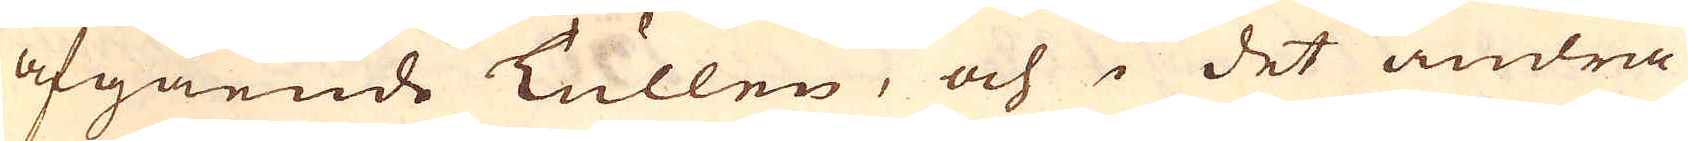afgående Tullen, och i det andra
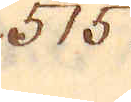515.
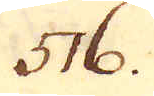516.
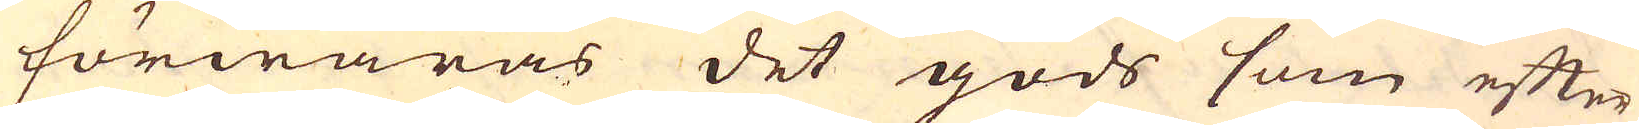förwaras det gods som efter
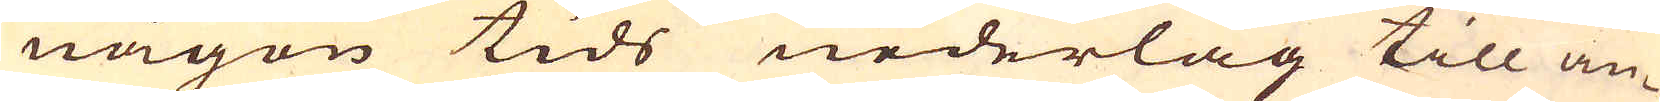någon tids nederlag till an-
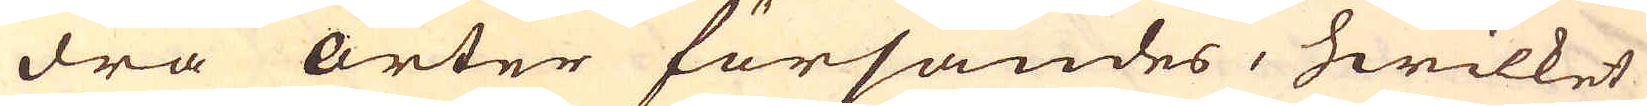dra orter försändes, hwilket
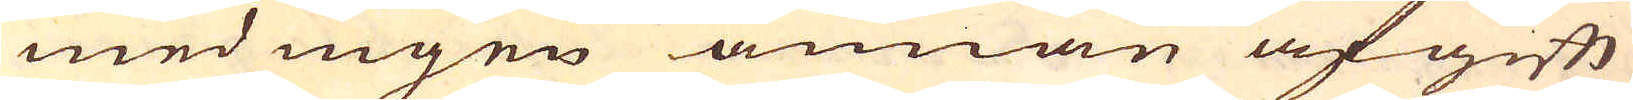med ingen annan afgift
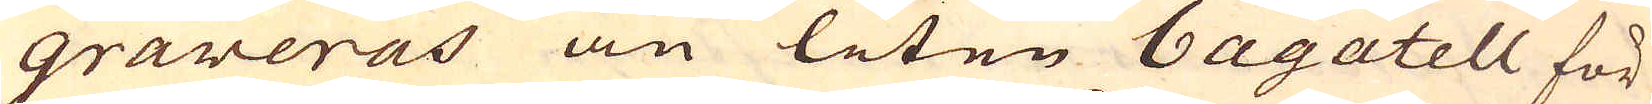graveras än liten bagatell för
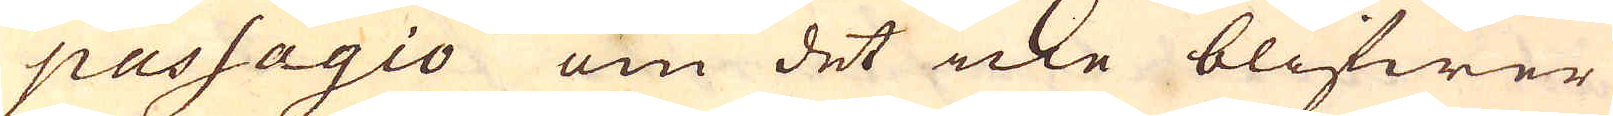passagio om det icke blifwer
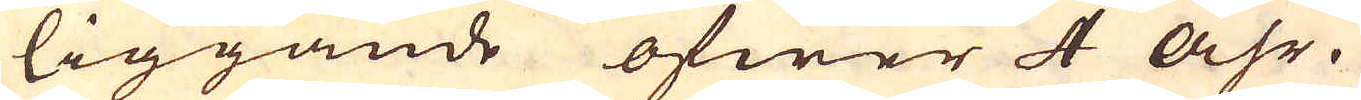liggande öfwer 4 Åhr.
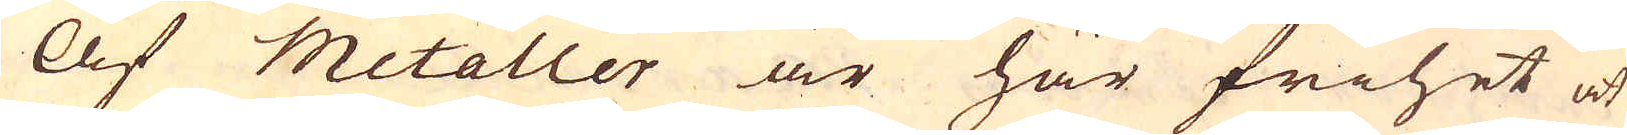Af metaller är här frihet at
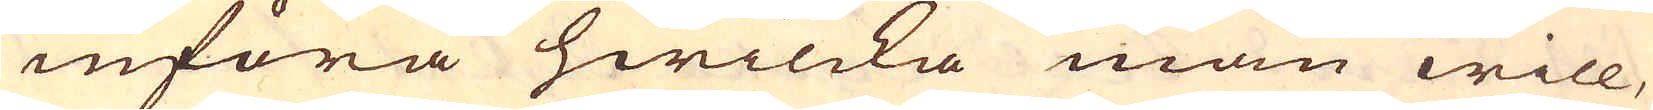införa hwilcka man will,
